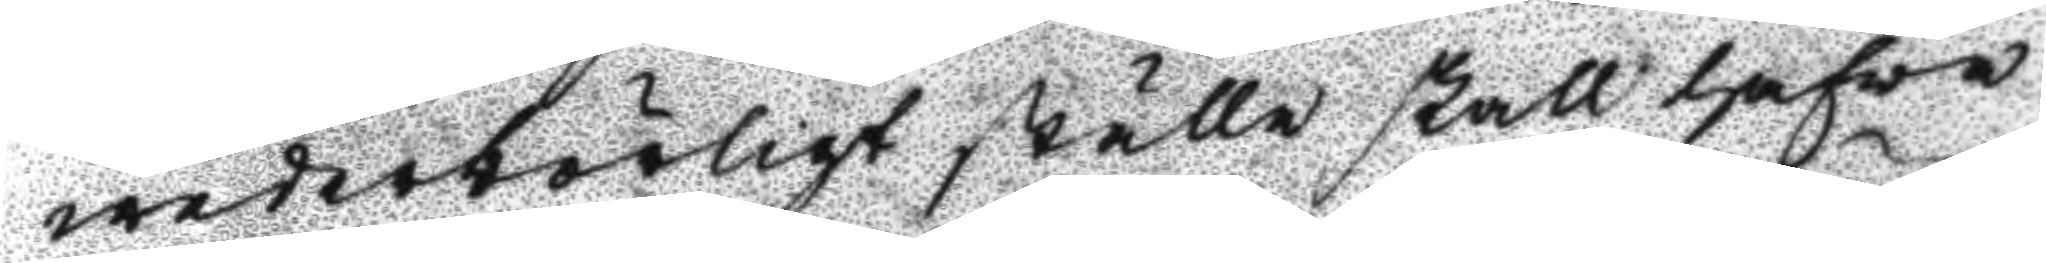wederbörligt ställe skall hafwa
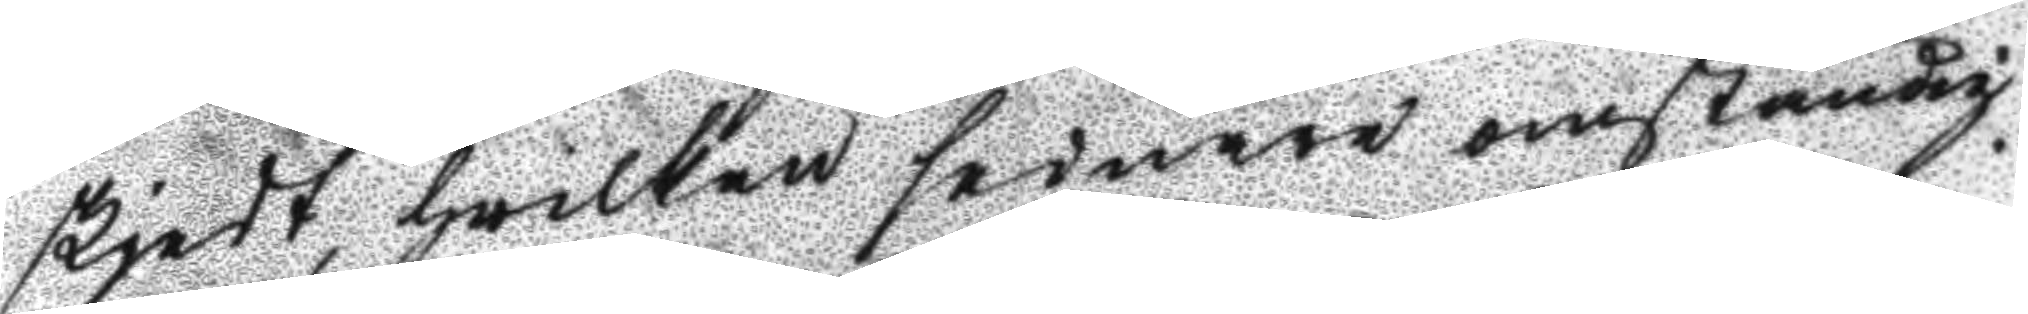skjedt, hwilken sednare omständig¬
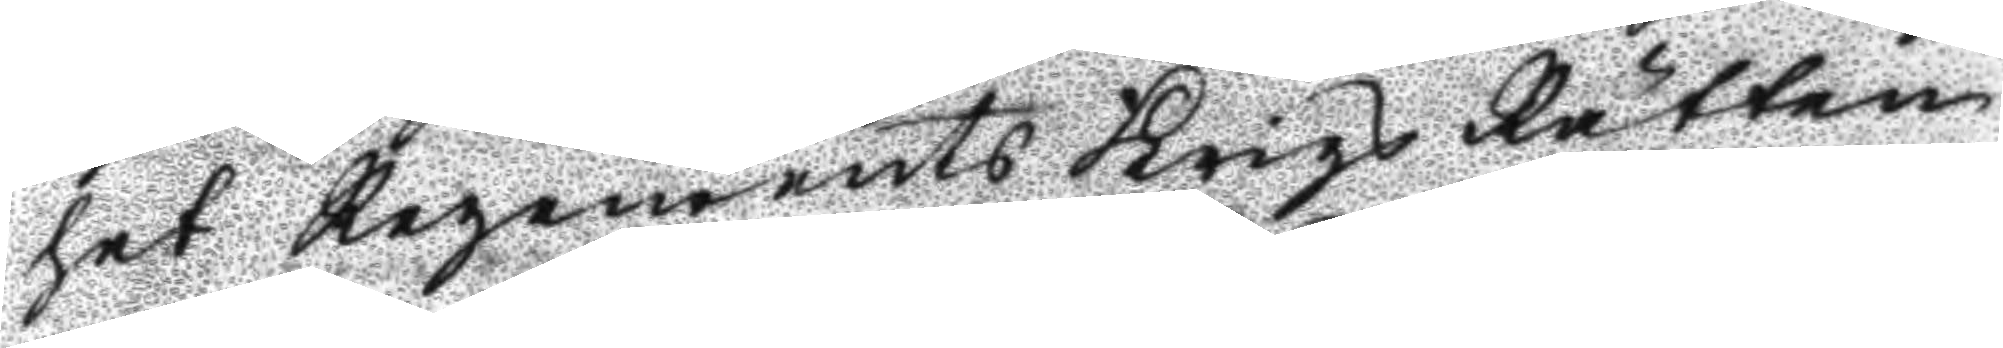het regements krigs Rätten
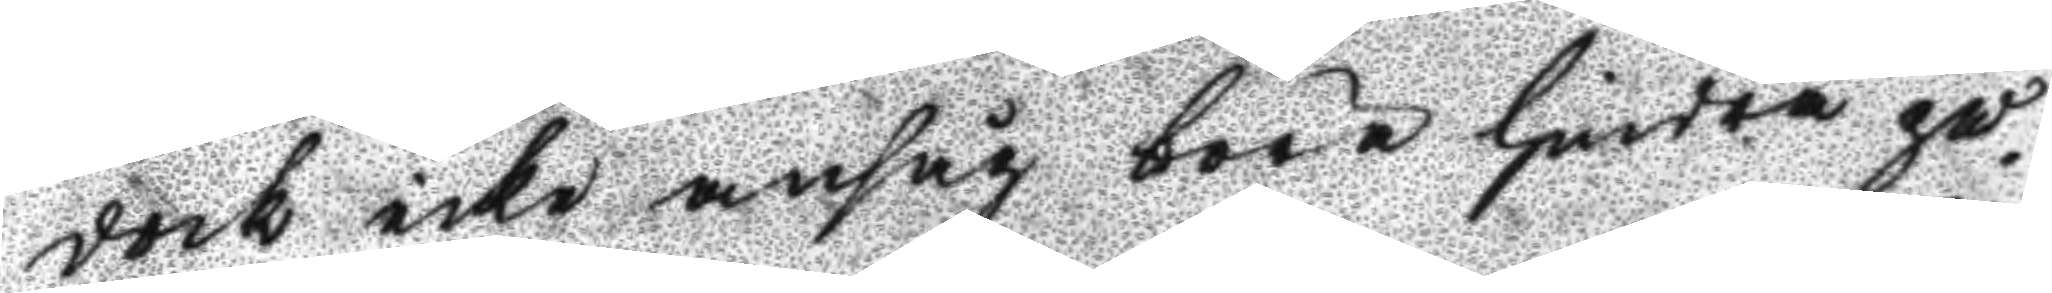dock icke ansåg böra hindra på
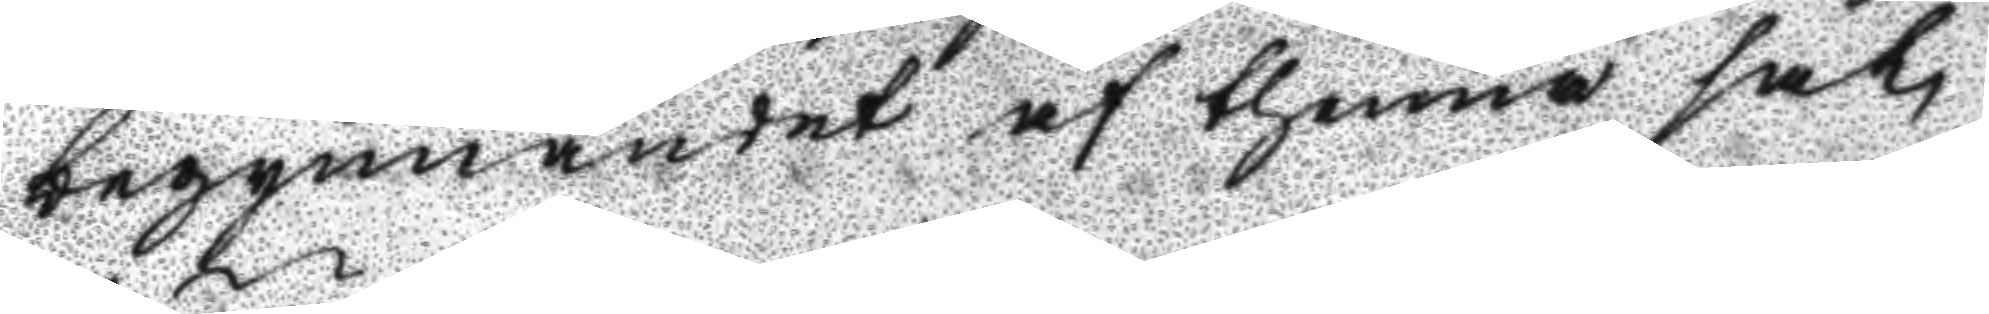begynnandet af thenne sak,
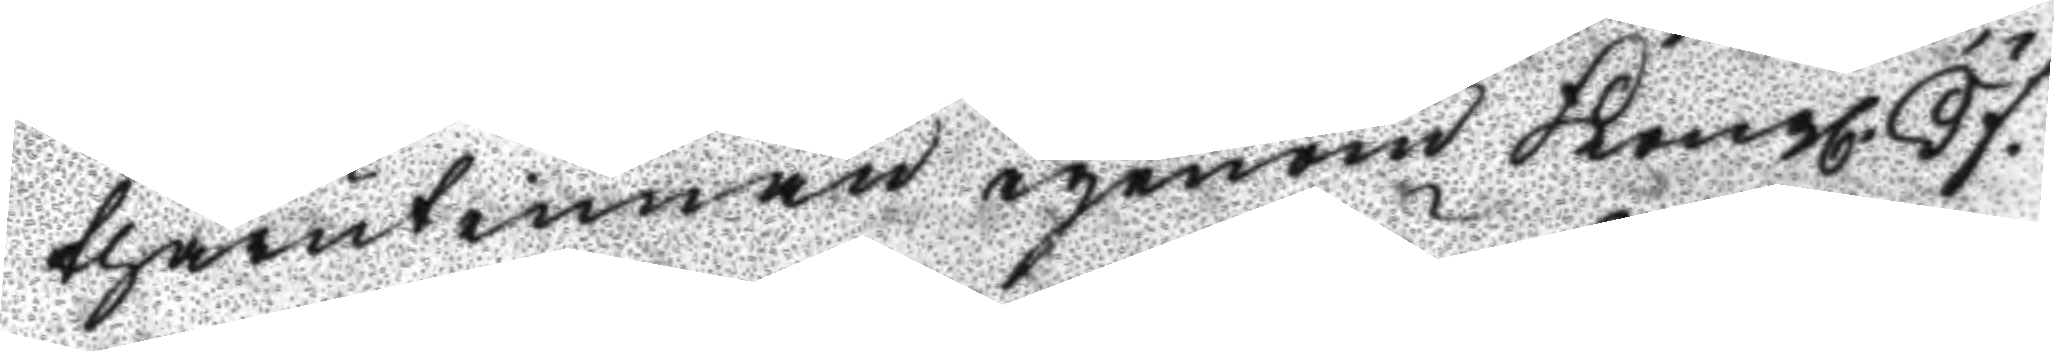thärutinnan igenom Kongl. Öf¬
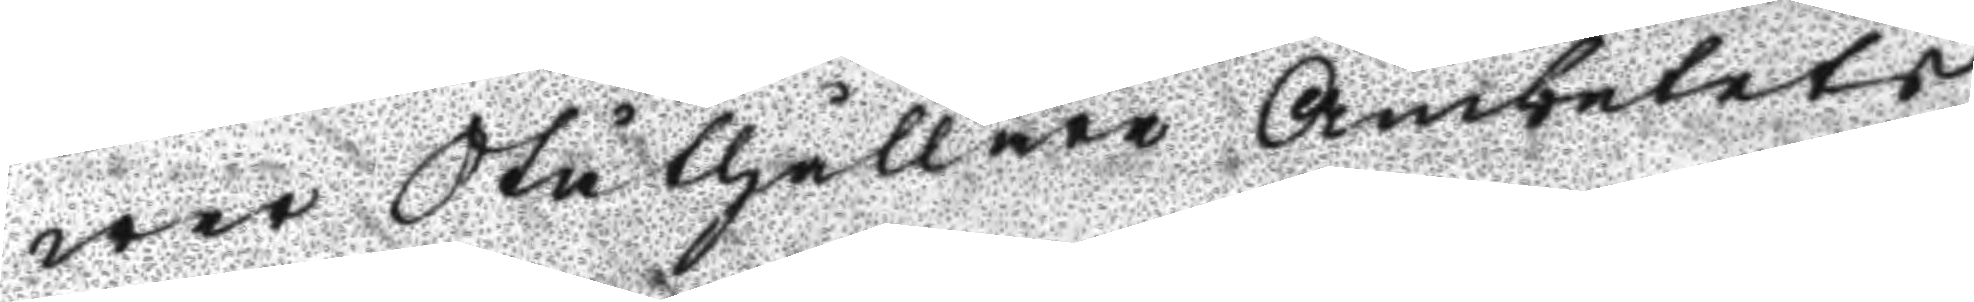wer Ståthållare Ämbetets
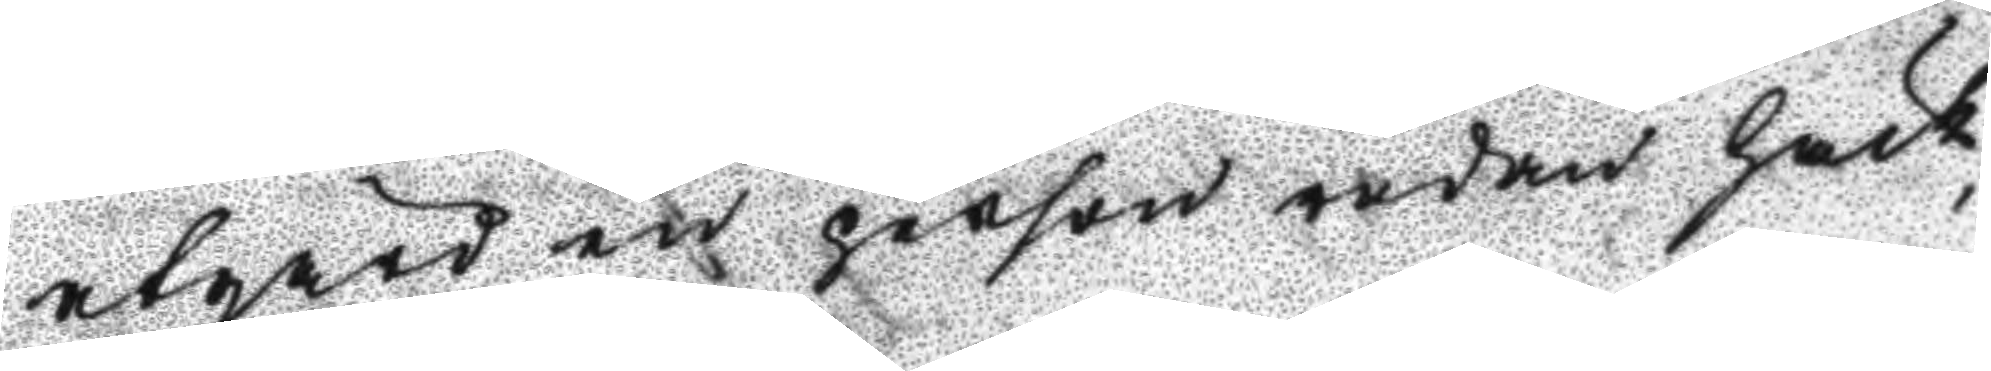atgård en person redan häck¬
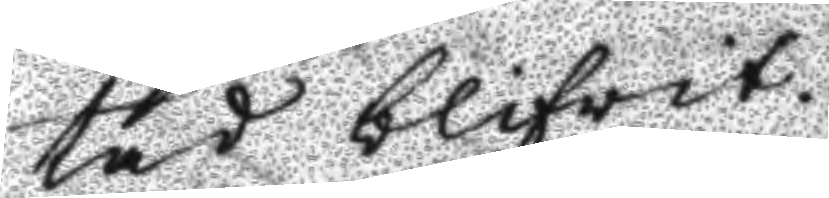tad blifwit.
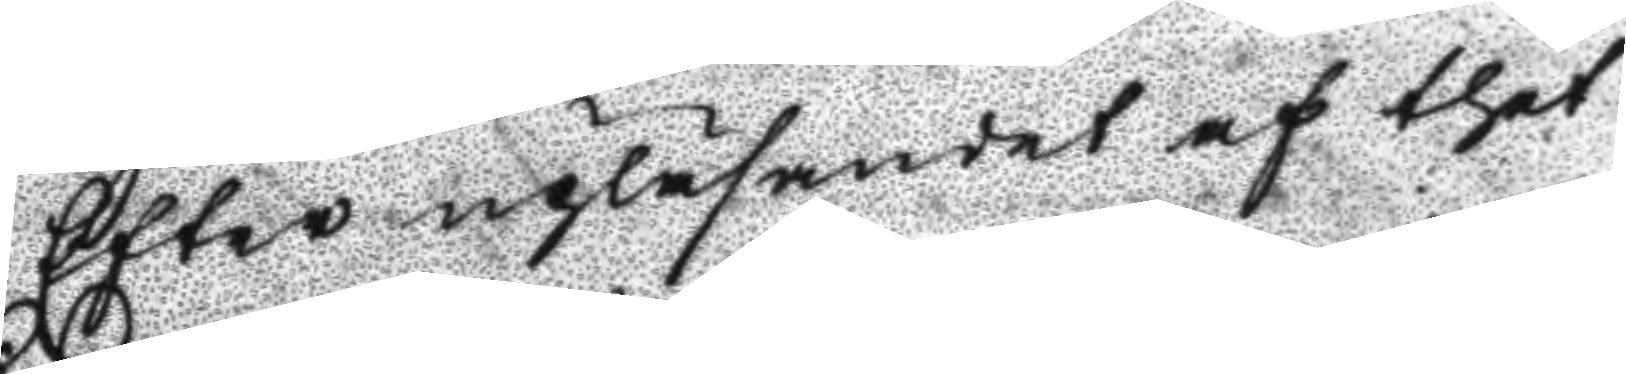Efter upläsandet af thet
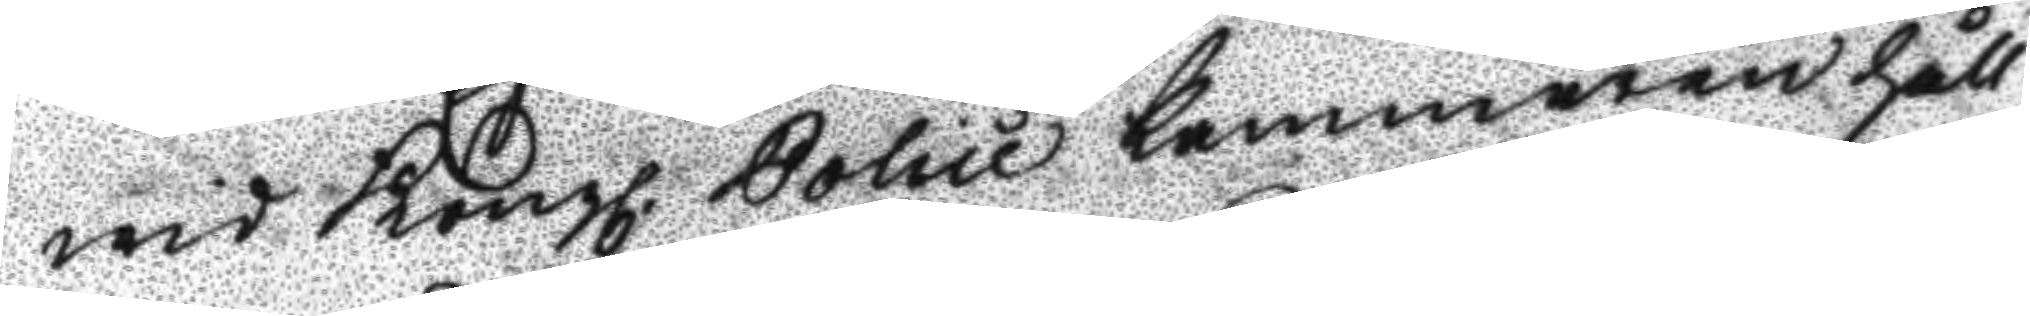wid Kongl. Police kammaren håll¬
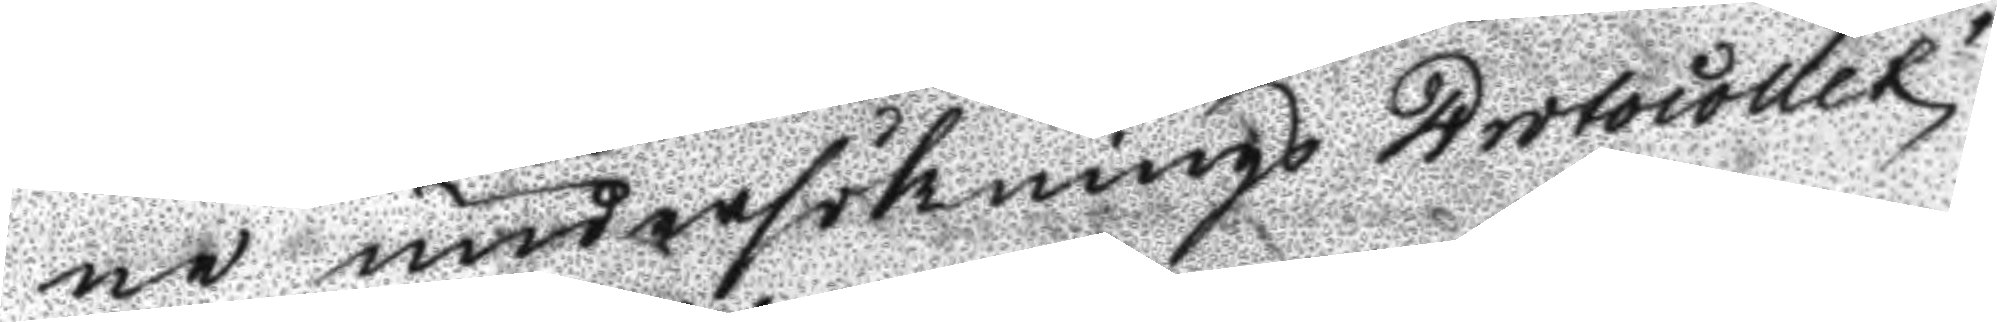ne undersöknings Protocollet
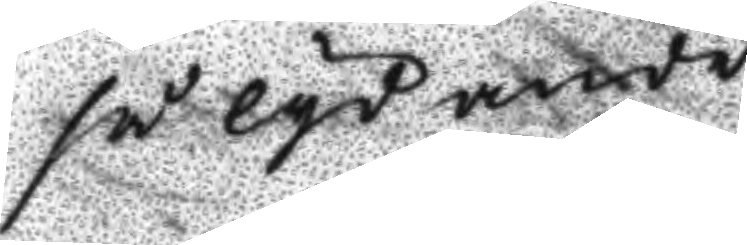så lydande
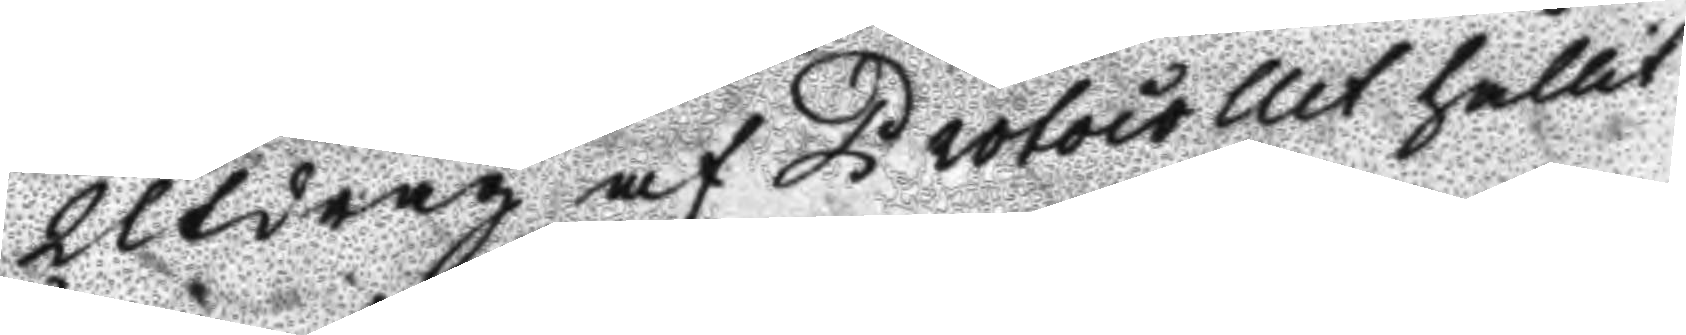Utdrag af Protocollet hållit
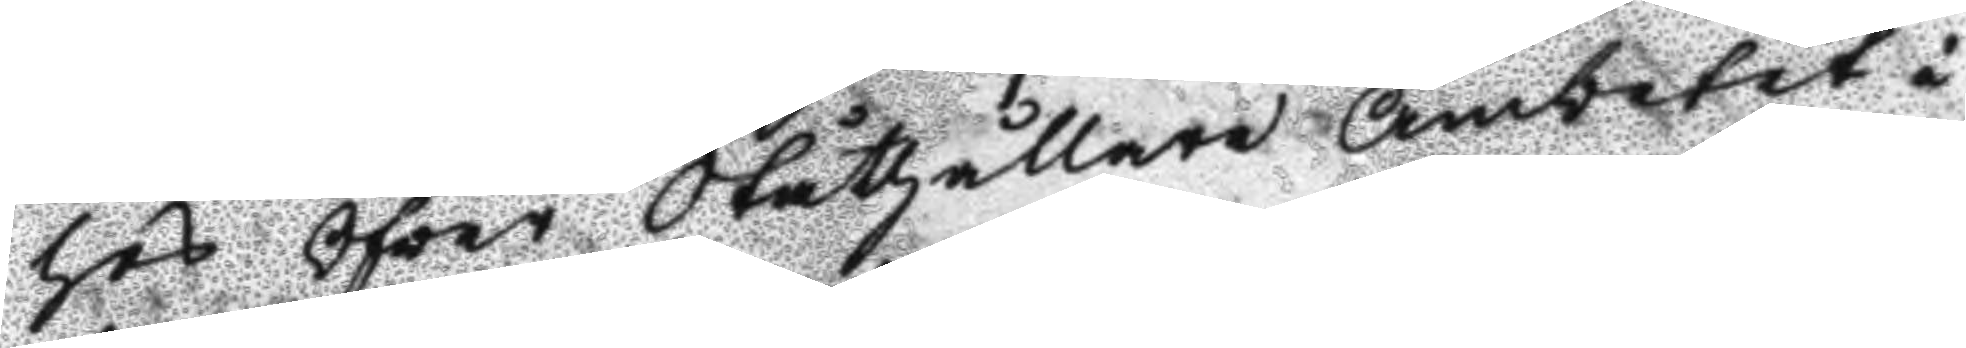hos Öfver Ståthållare Ämbetet i
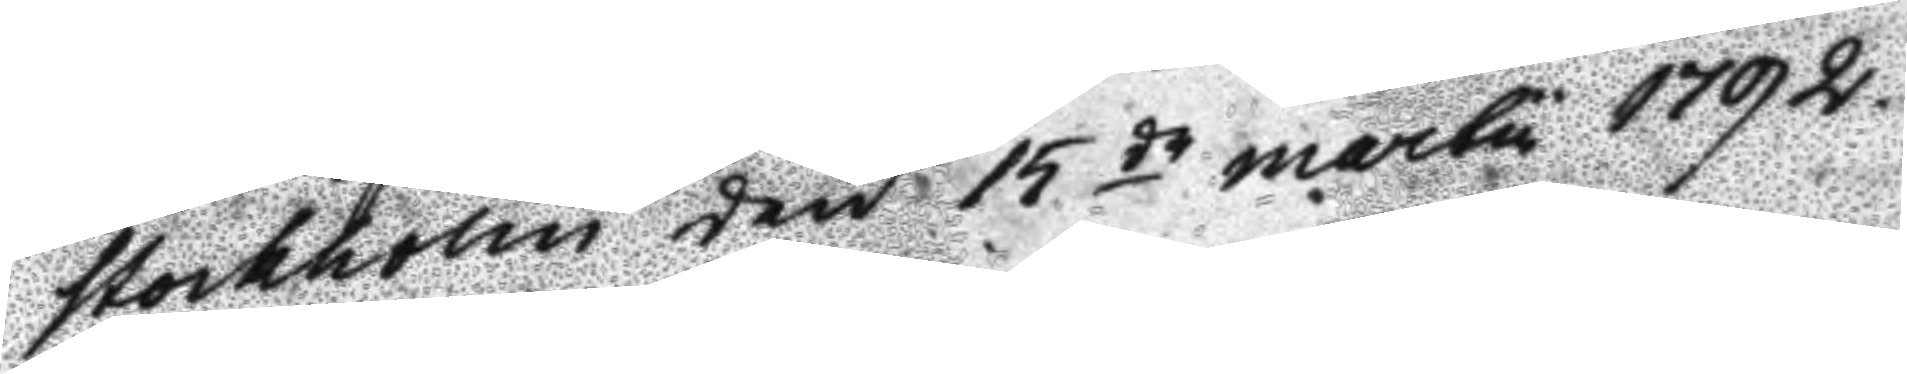Stockholm den 15 de martu 1792.
